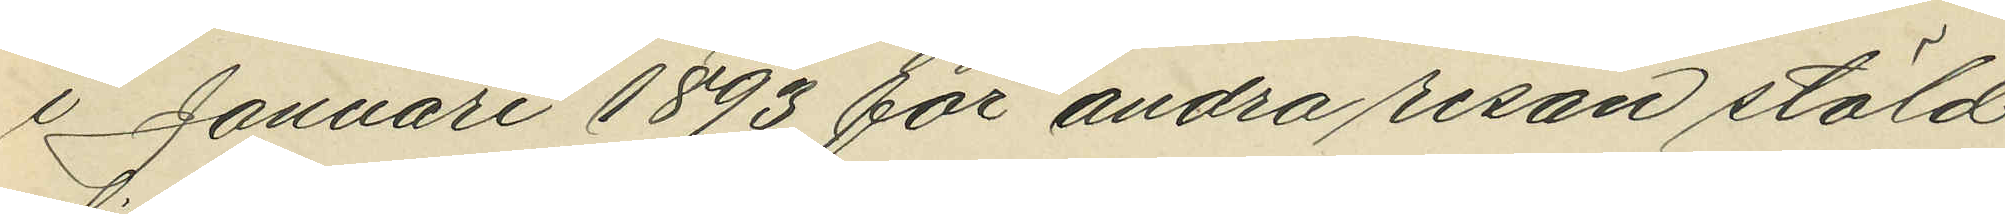i Januari 1893 för andra resan stöld
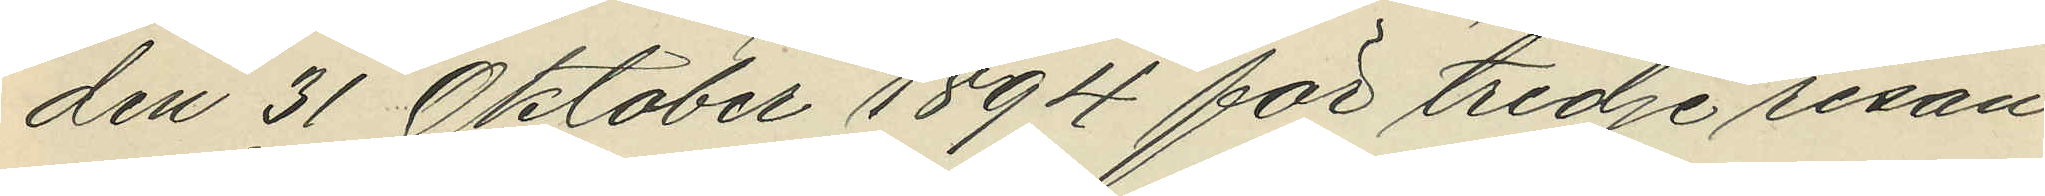den 31 Oktober 1894 för tredje resan
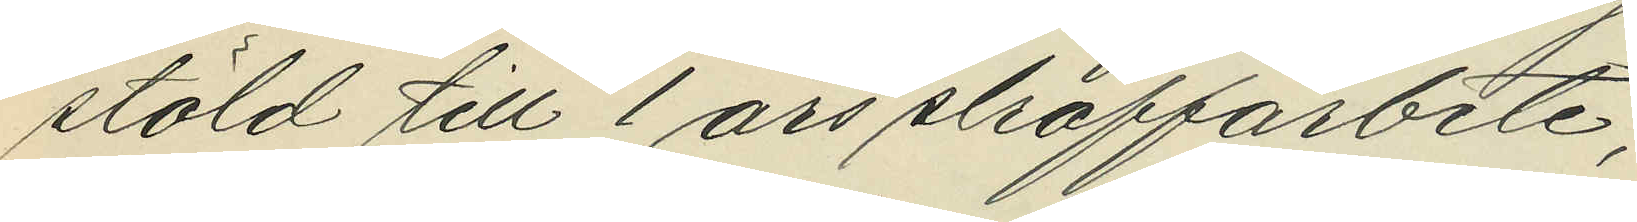stöld till 1 års straffarbete;
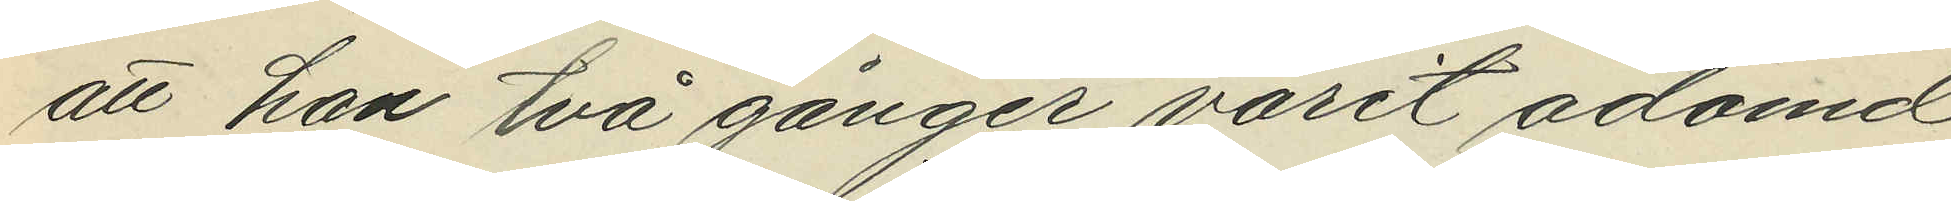att han två gånger varit ådömd
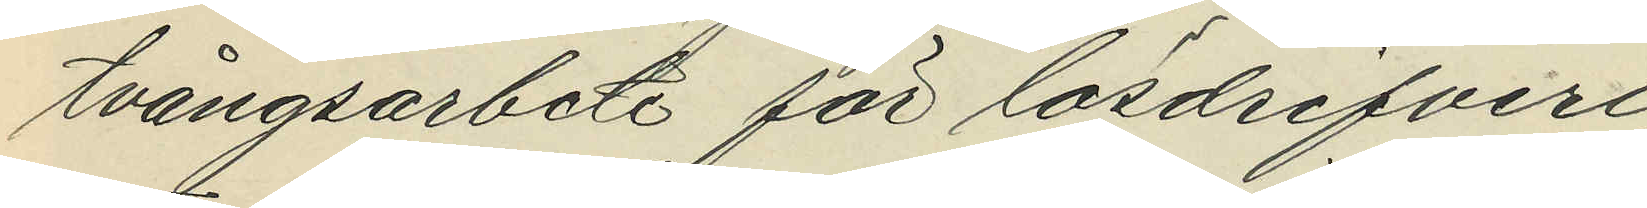tvångsarbete för lösdrifveri;
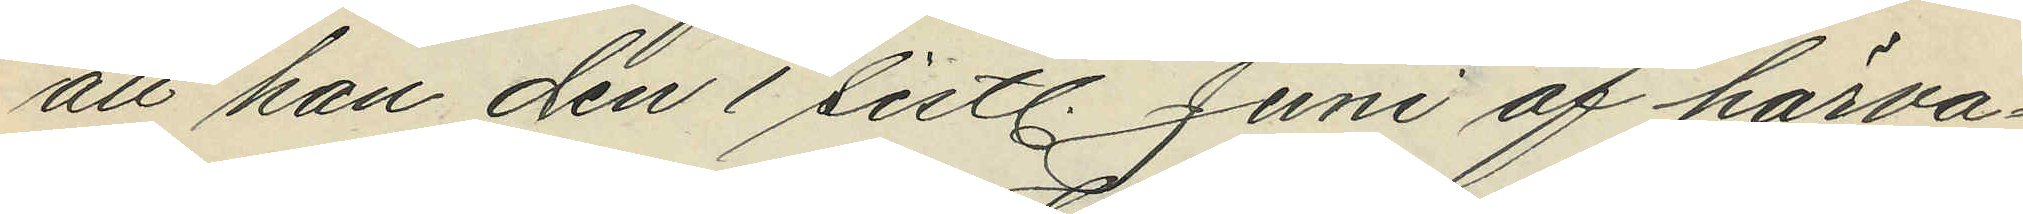att han den 1 sistl. Juni af härva¬
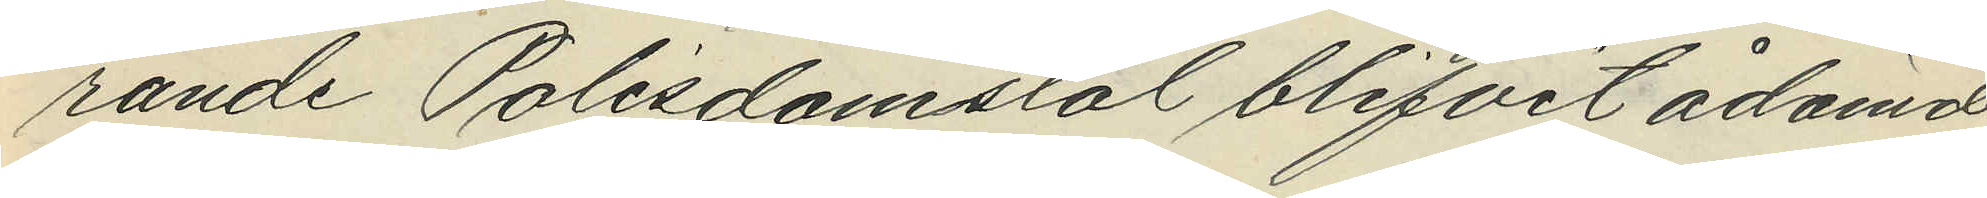rande Polisdomstol blifvit ådömd
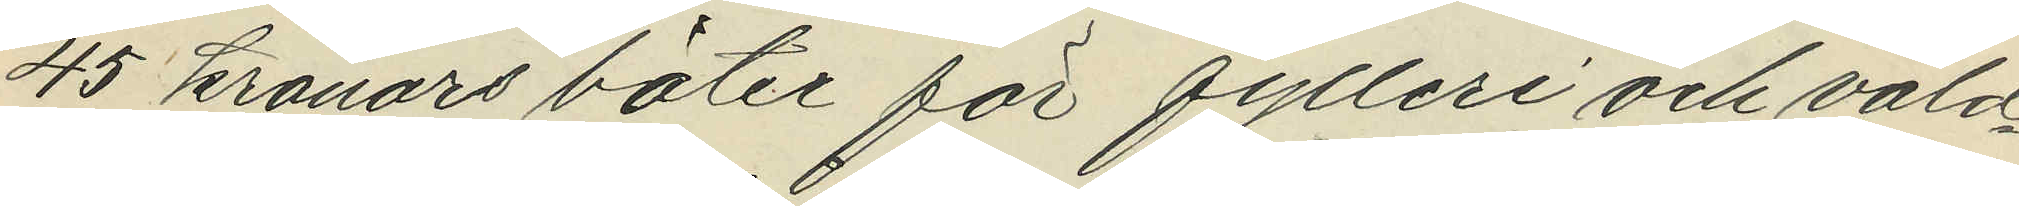45 kronors böter för fylleri och våld¬
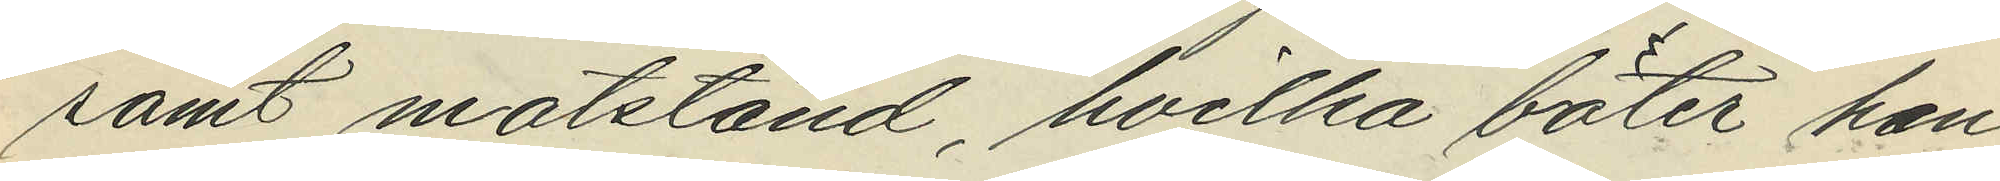samt motstånd, hvilka böter han
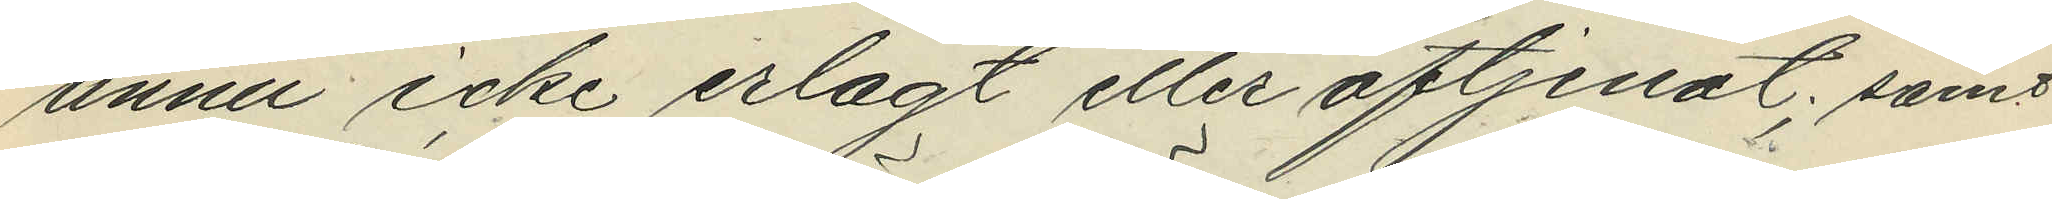ännu icke erlagt eller aftjenat; samt
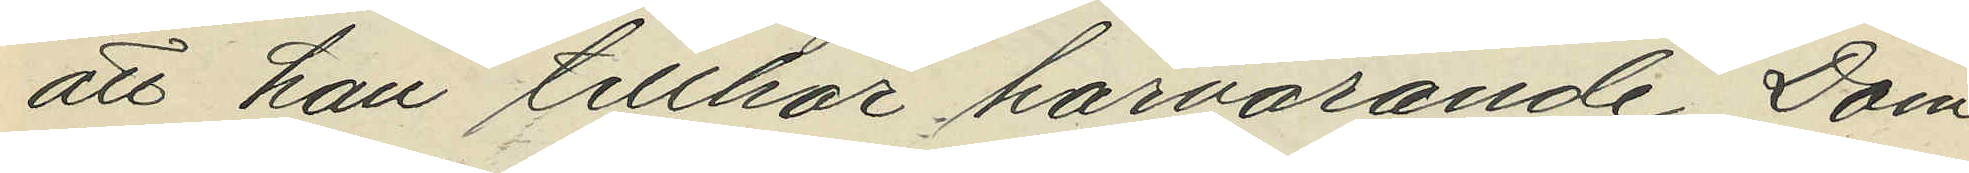att han tillhör härvarande Dom¬
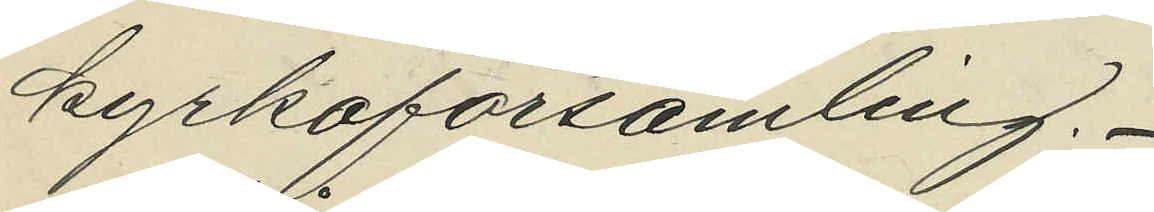kyrkoförsamling.
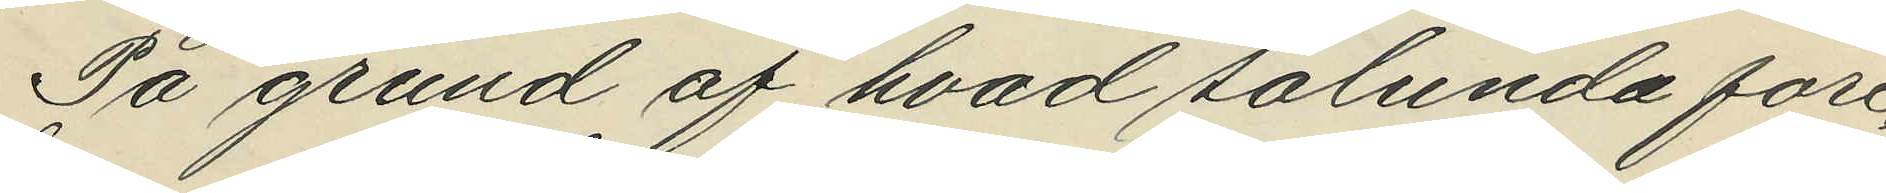På grund af hvad sålunda före¬
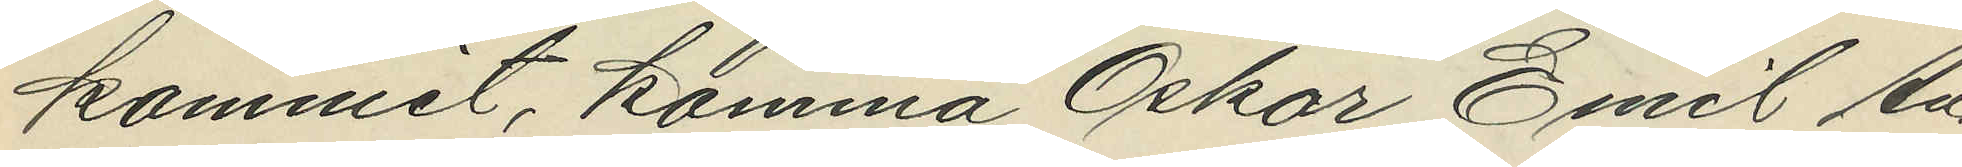kommit, komma Oskar Emil An¬
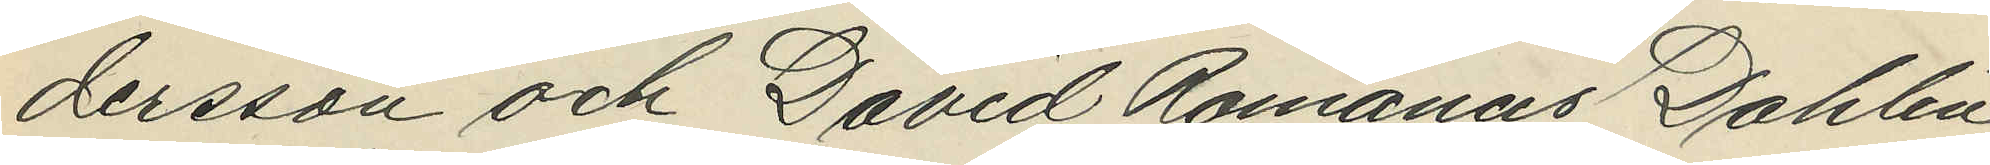dersson och David Romanus Dahlin,
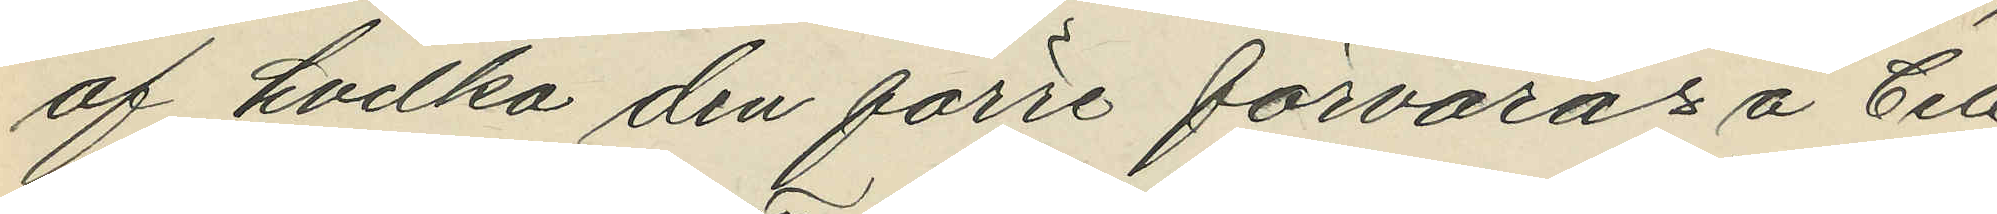af hvilka den förre förvaras å Cell¬
